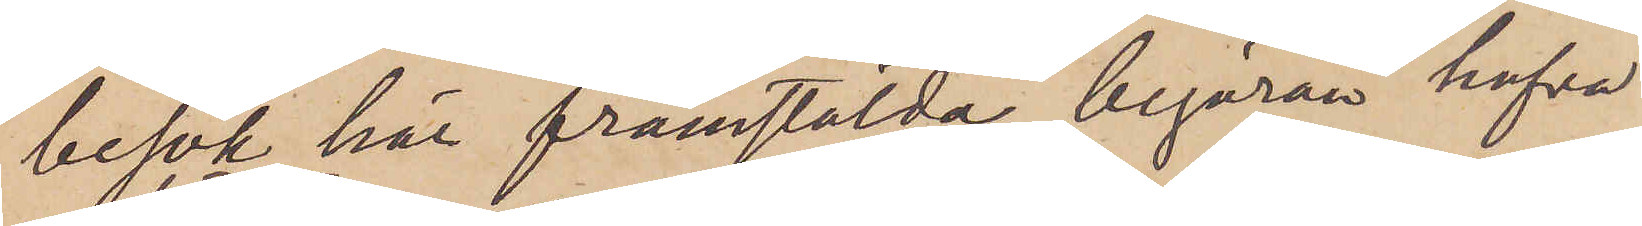besök här framstälda begäran hafva
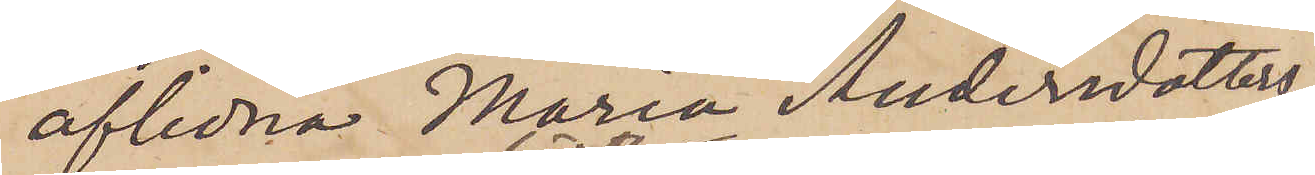aflidna Maria Andersdotters
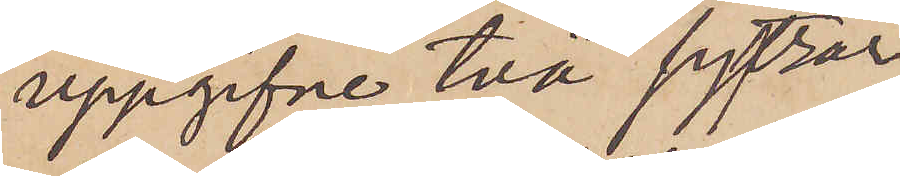uppgifne två sytrar
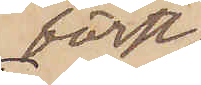först
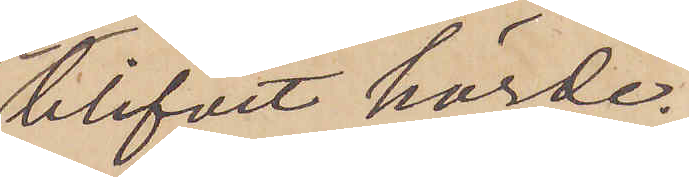blifvit hörde.
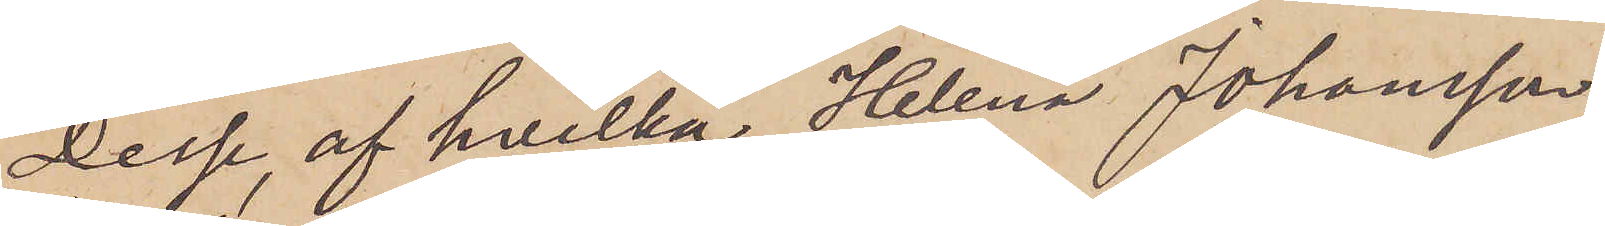Desse, af hvilka Helena Johansson
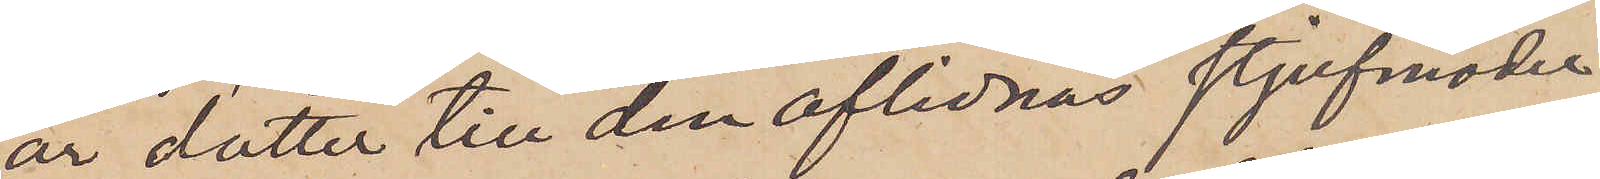är dotter till den aflidnas styfmoder
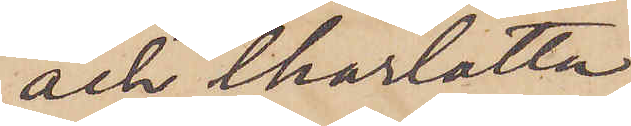och Charlotta
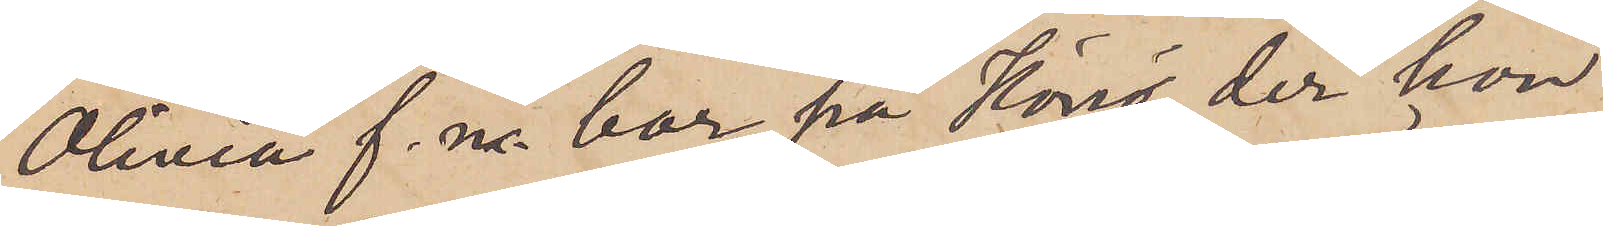Olivia f. n bor på Hönö, der hon
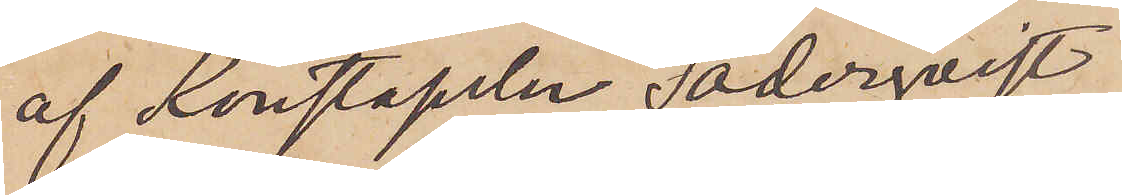af Konstapeln Söderqvist
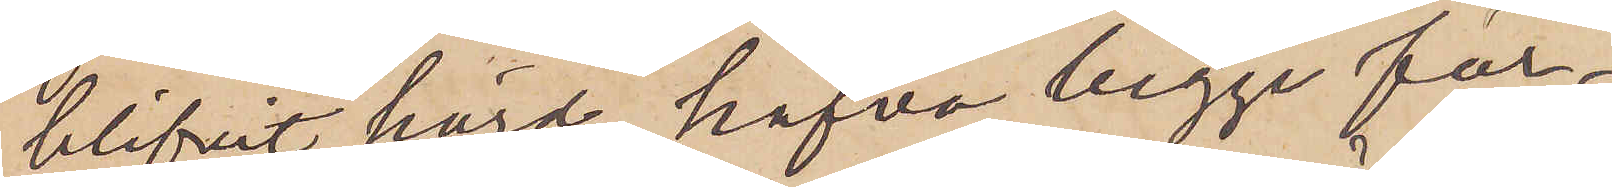blifvit hörd, hafva begge för¬
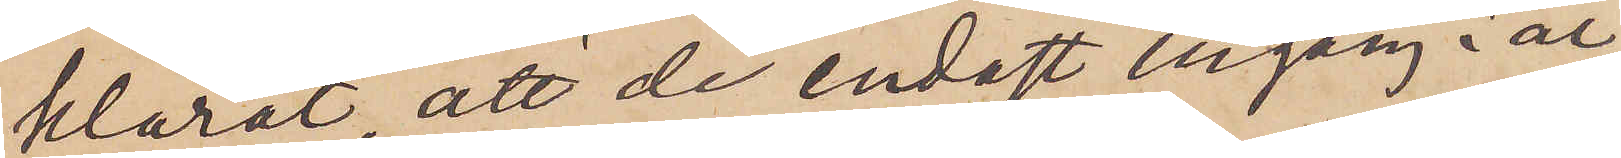klarat att de endast en gång i år,
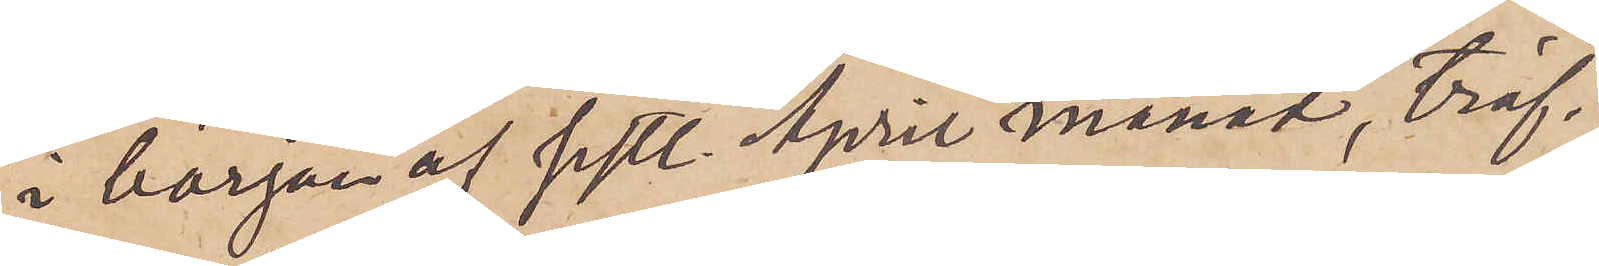i början af sistl. April månad, träf¬
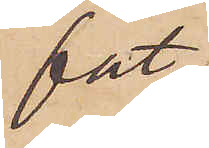fat
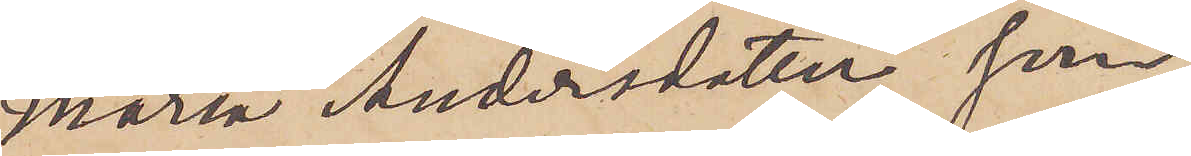Maria Andersdotter, som
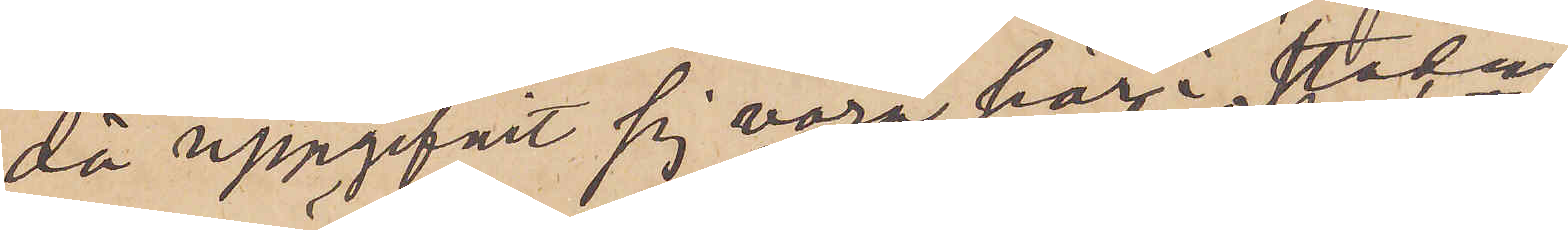då uppgifvit sig vara här i staden
